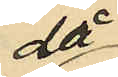då
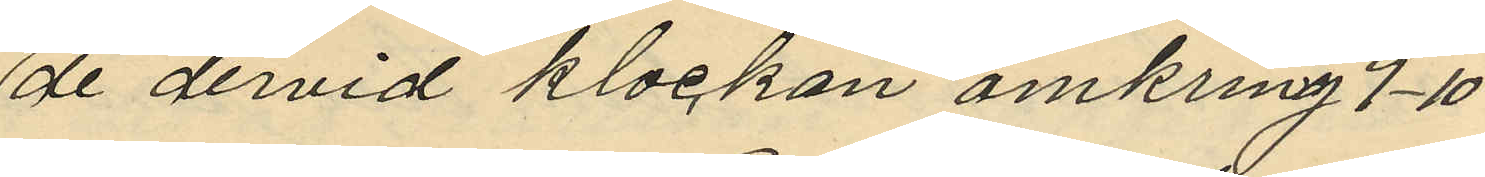de dervid klockan omkring 9-10
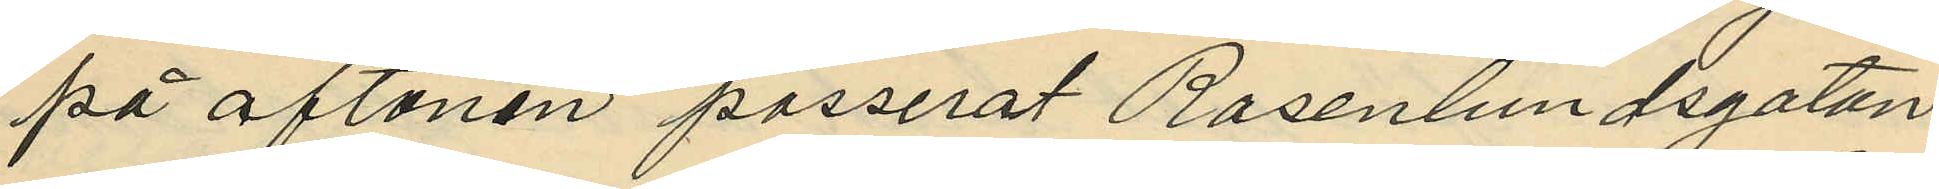på aftonen passerat Rosenlundsgatan
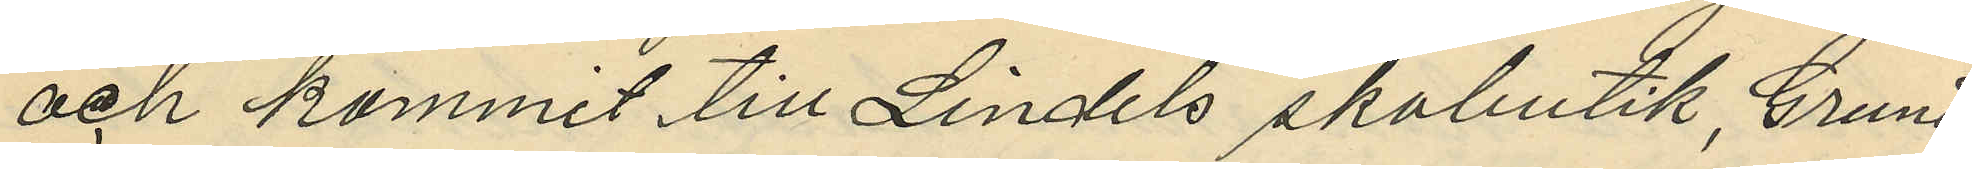och kommit till Lindels skobutik, Grund
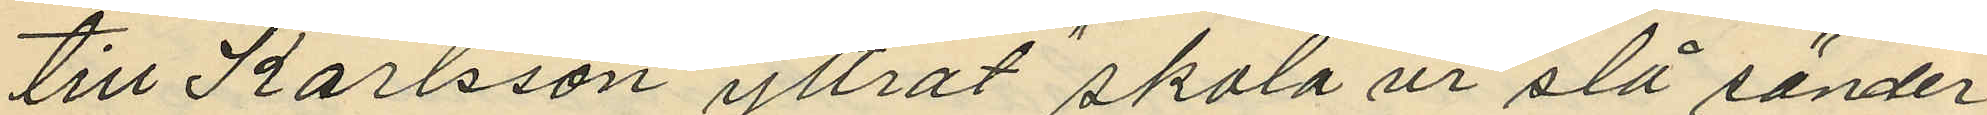till Karlsson yttrat "skola vi slå sönder
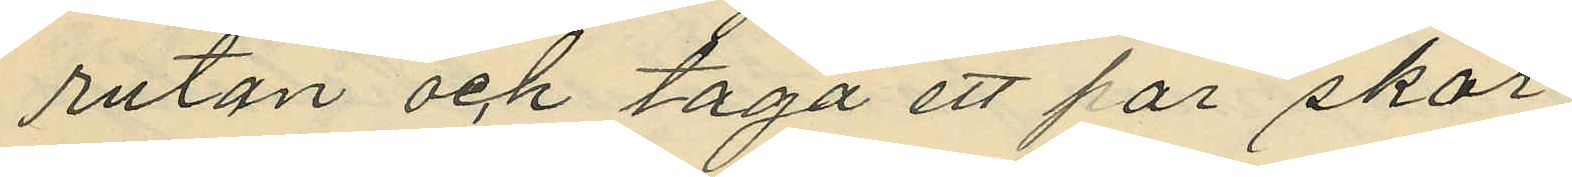rutan och taga ett par skor".
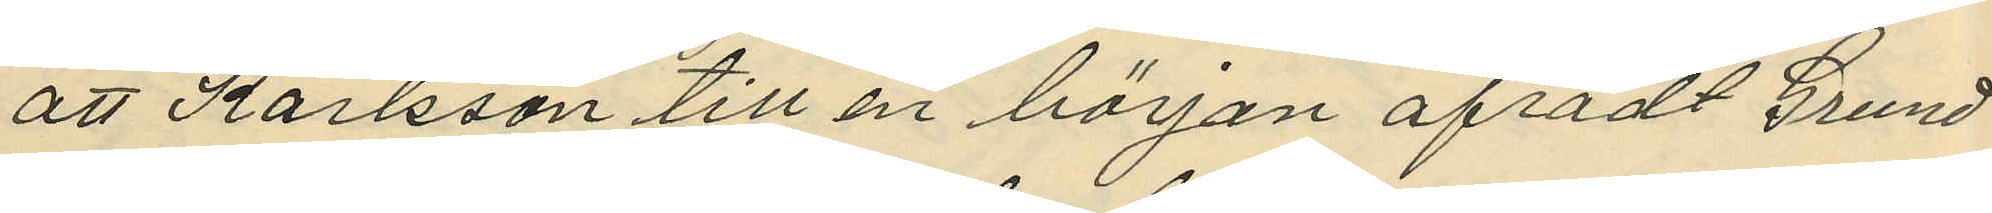att Karlsson till en början afrådt Grund
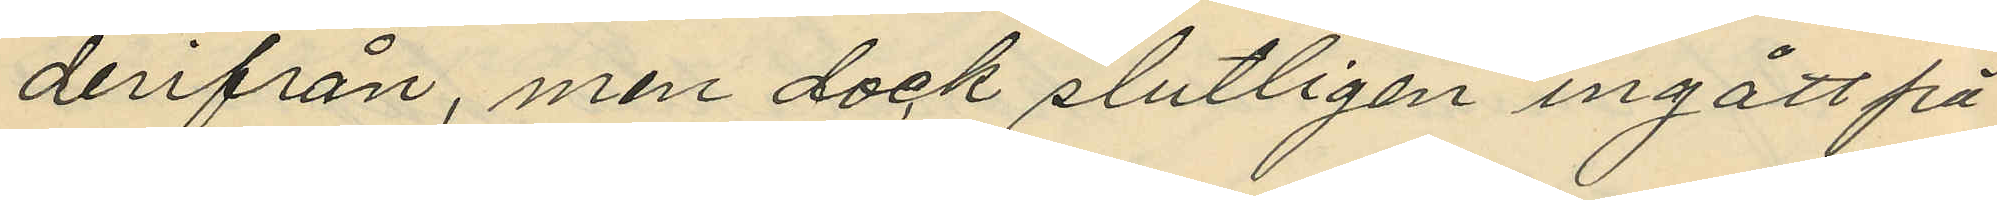derifrån, men dock slutligen ingått på
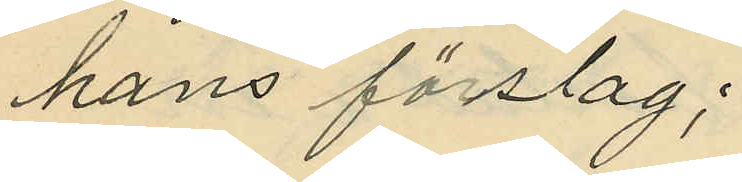hans förslag;
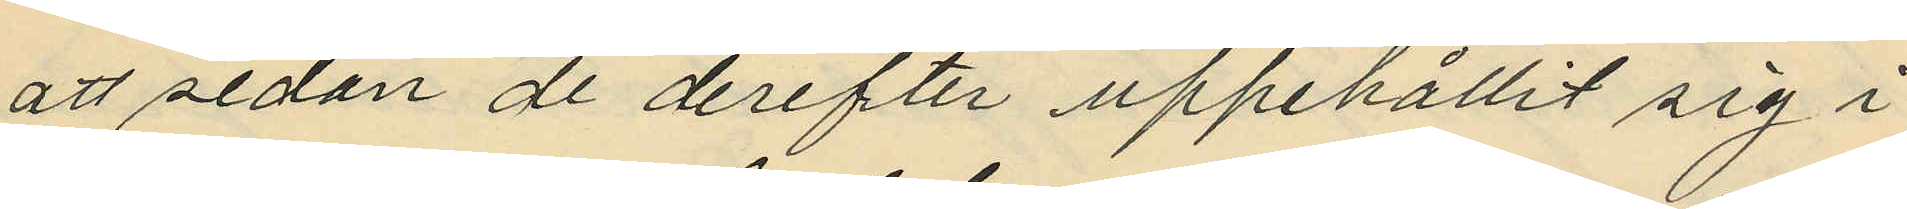att sedan de derefter uppehållit sig i
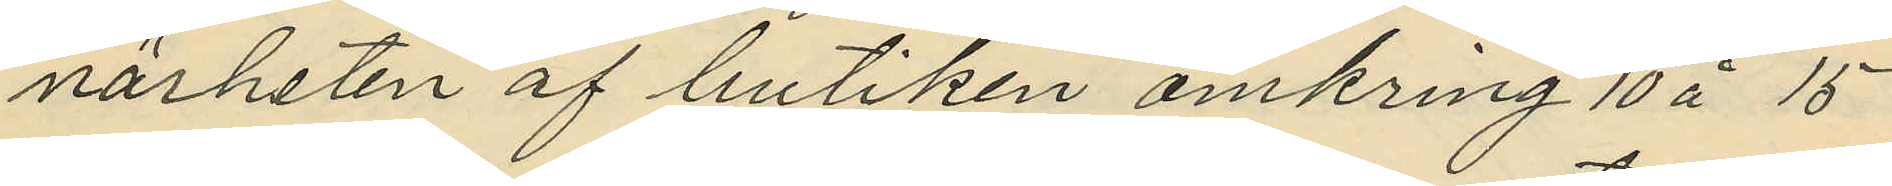närheten af butiken omkring 10 à 15
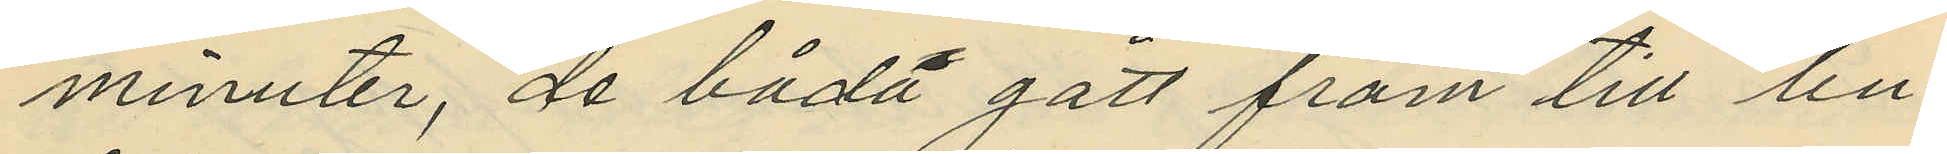minuter, då båda gått fram till bu¬
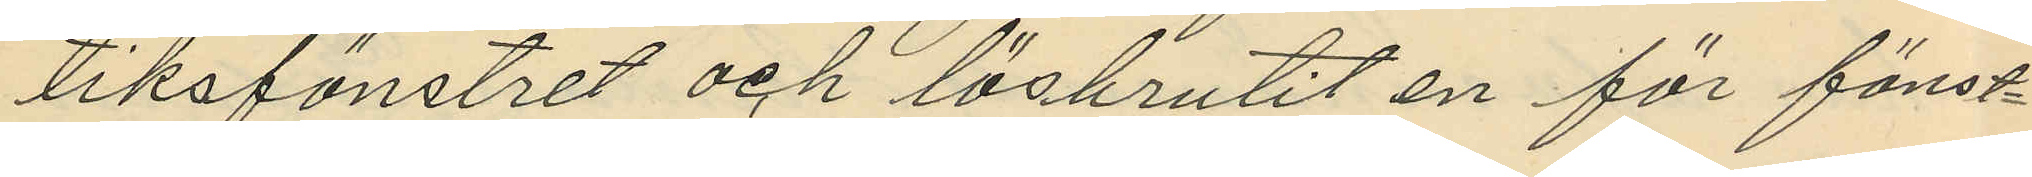tiksfönstret och lösbrutit en för fönst¬
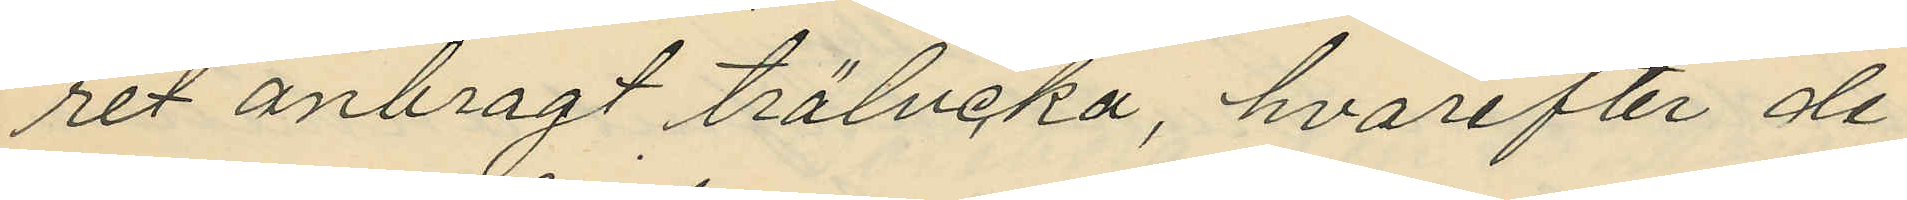ret anbragt trälucka, hvarefter de
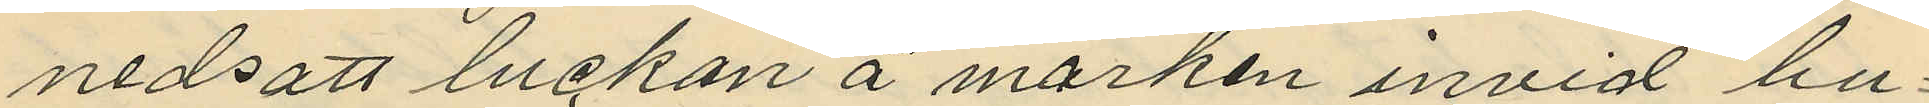nedsatt luckan å marken invid bu¬
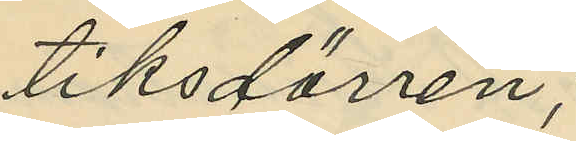tiksdörren,
